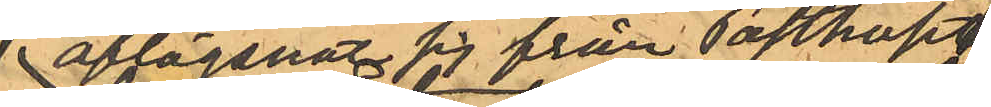aflägsnat sig från Posthuset
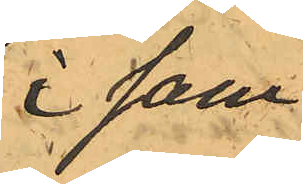i sam¬
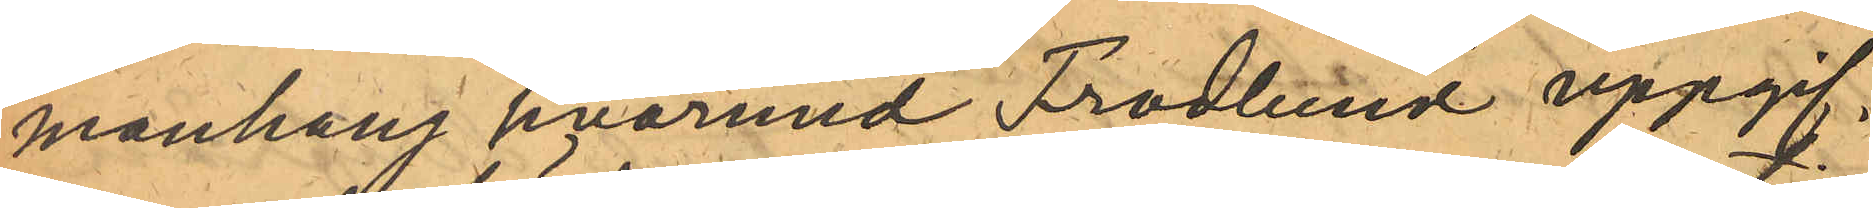manhang hvarmed Frodlund uppgif¬
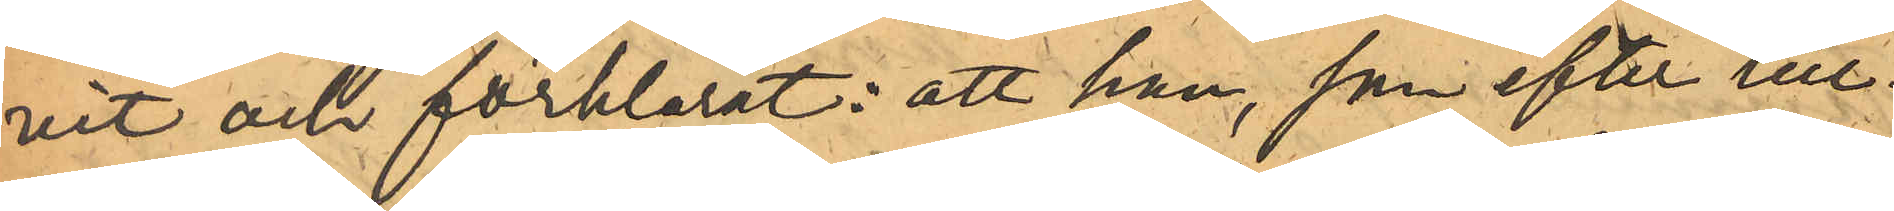vit och förklarat: att han, som efter till¬
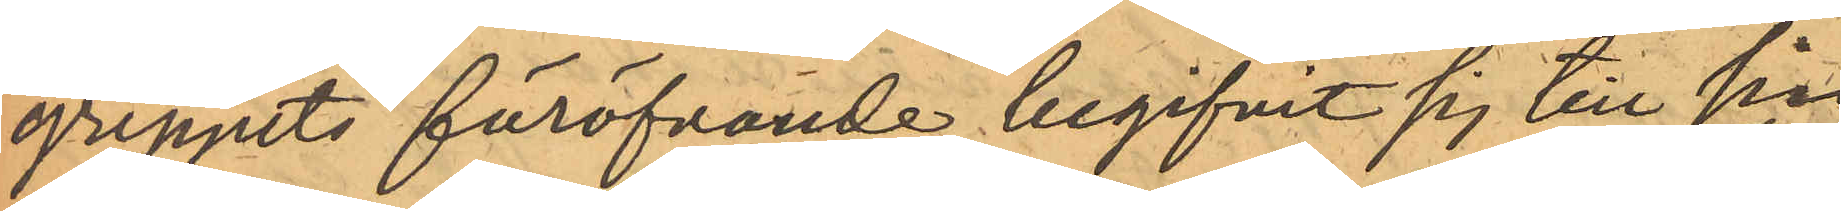greppets föröfvande begifvit sig till sin
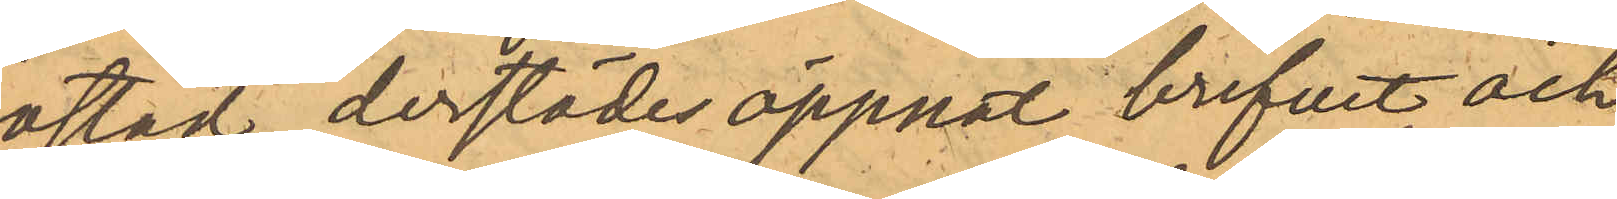bostad, derstädes öppnat brefvet och
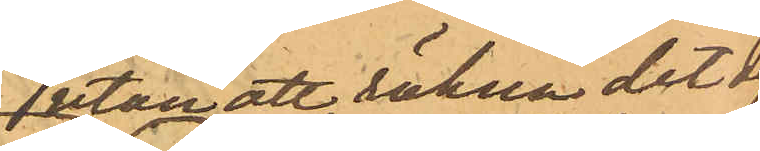utan att räkna det der
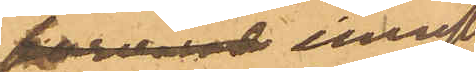forvarade inneslut¬
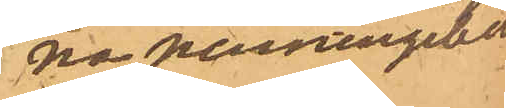na penningebelopp¬
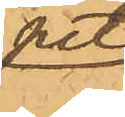pet
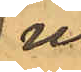ur
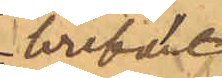brefvet
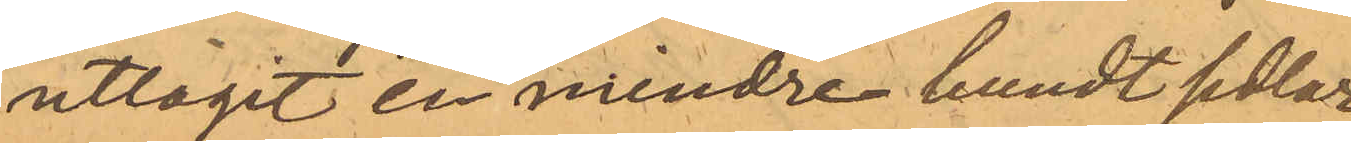uttagit en mindre bundt sedlar
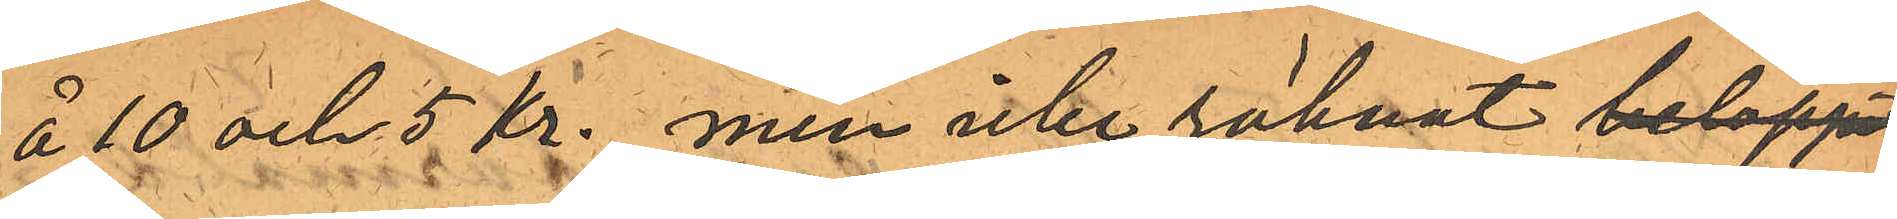å 10 och 5 kr. men icke räknat beloppet
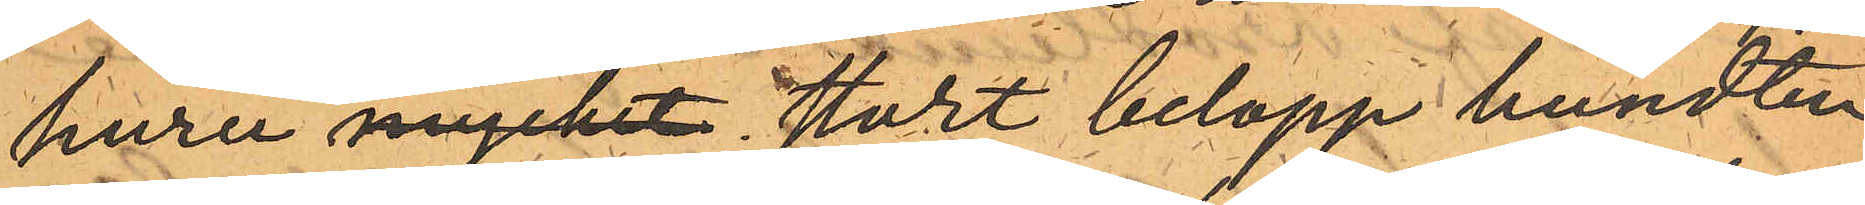huru mycket stort belopp bundten
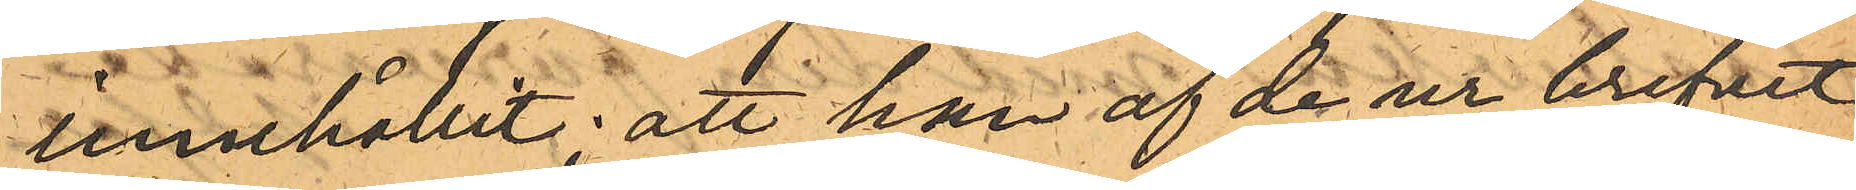innehållit; att han af de ur brefvet
